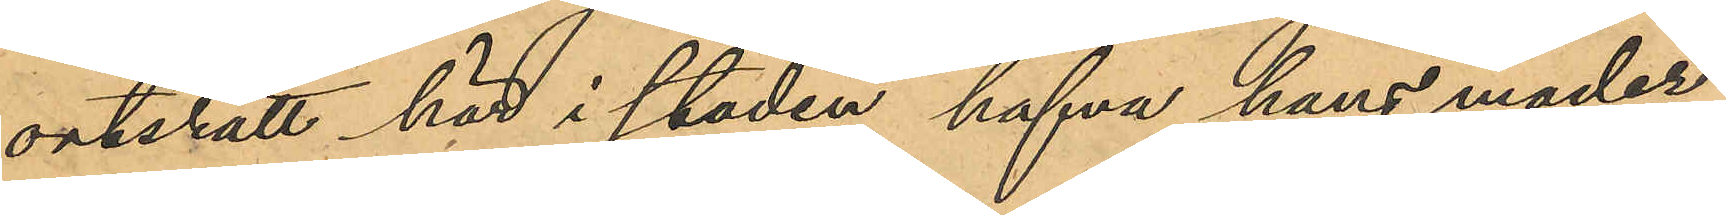ortsrätt här i staden hafva hans moder
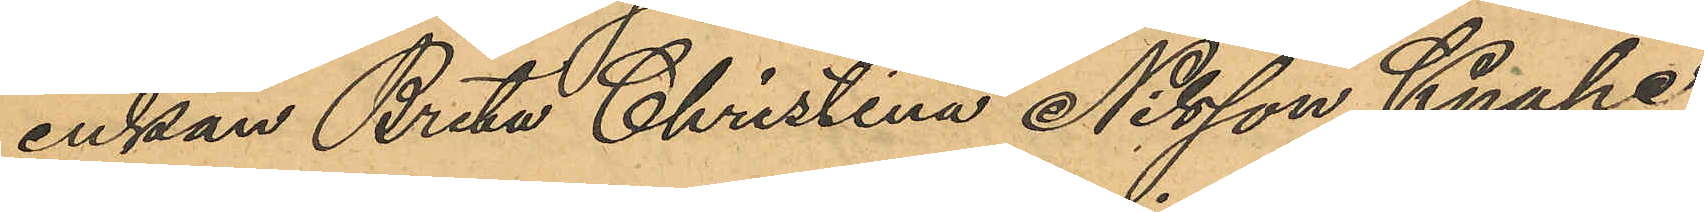enkan Brita Christina Nilsson Knape,
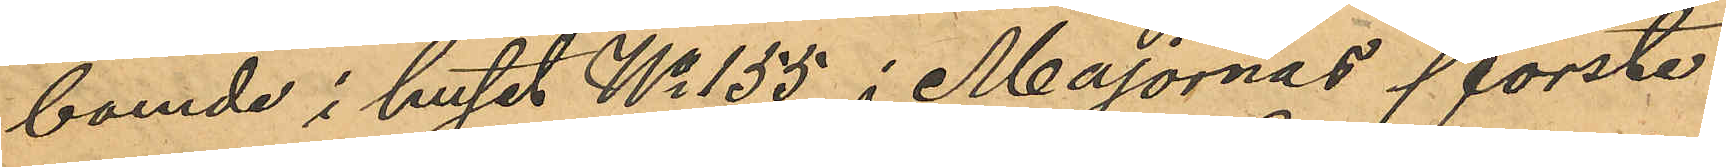boende i huset No 155 i Majornas förste
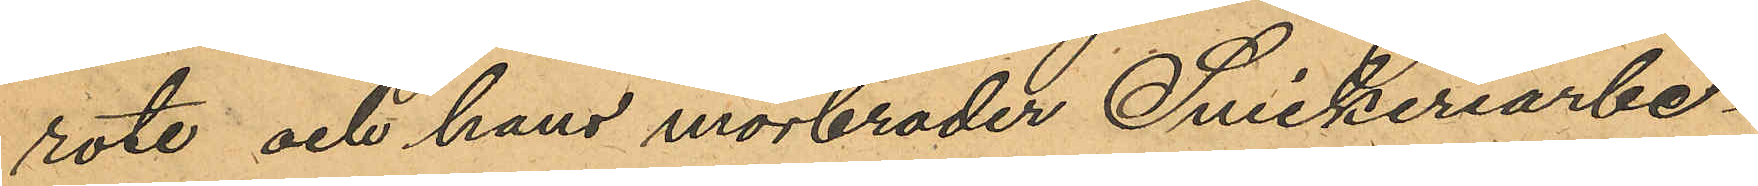rote och hans morbroder Snickeriarbe¬
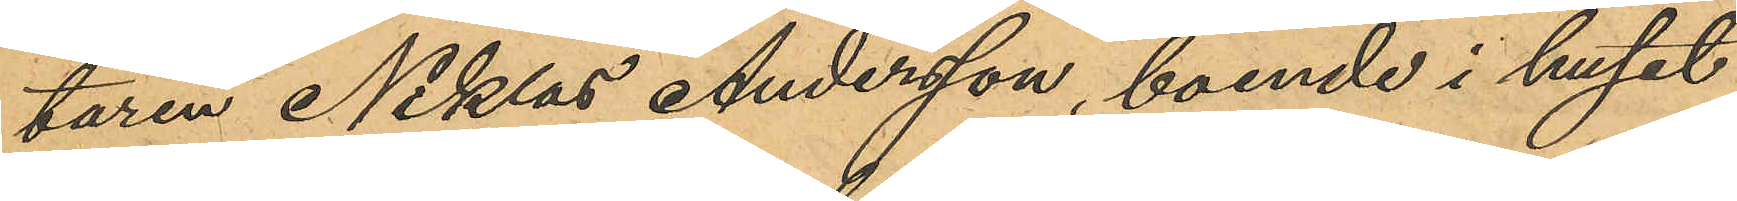taren Niklas Andersson, boende i huset
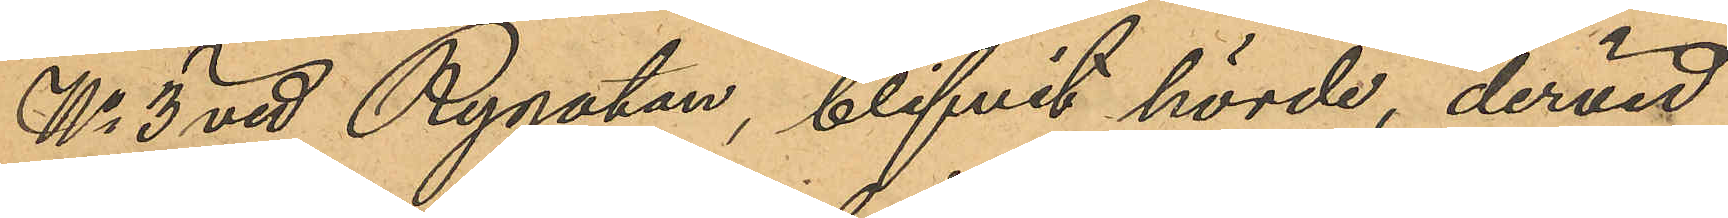No 3 vid Rygatan, blifvit hörde, dervid
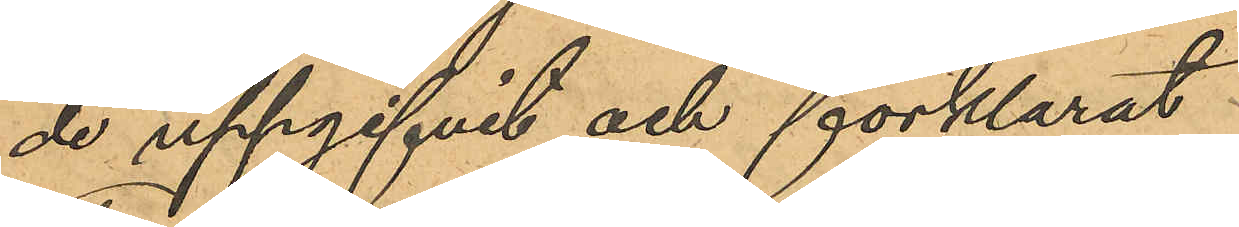de uppgifvit och förklarat:
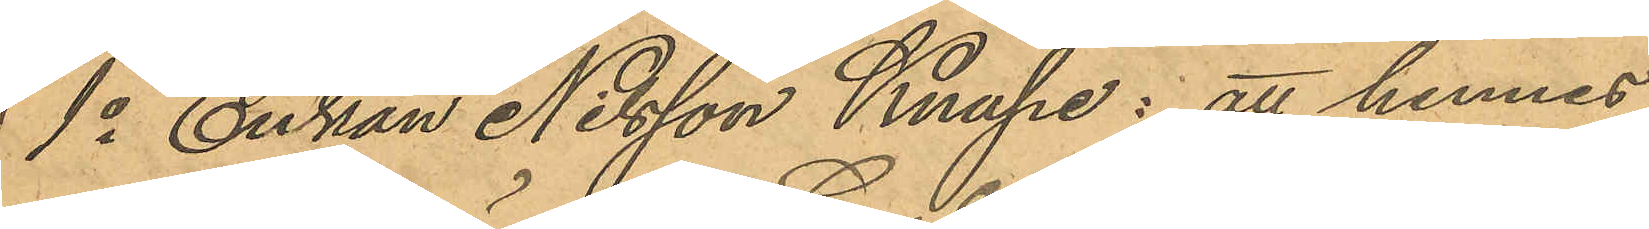1o Enkan Nilsson Knape: att hennes
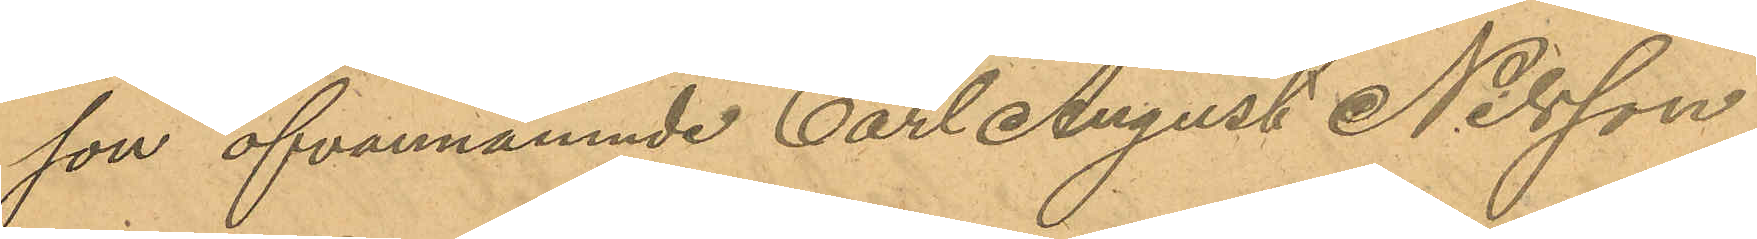son ofvannämnde Carl August Nilsson
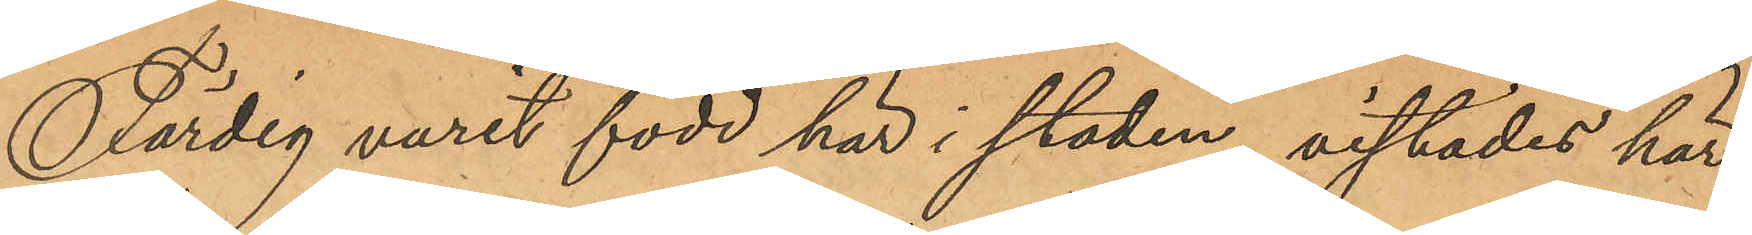Färdig varit född här i staden, vistades här
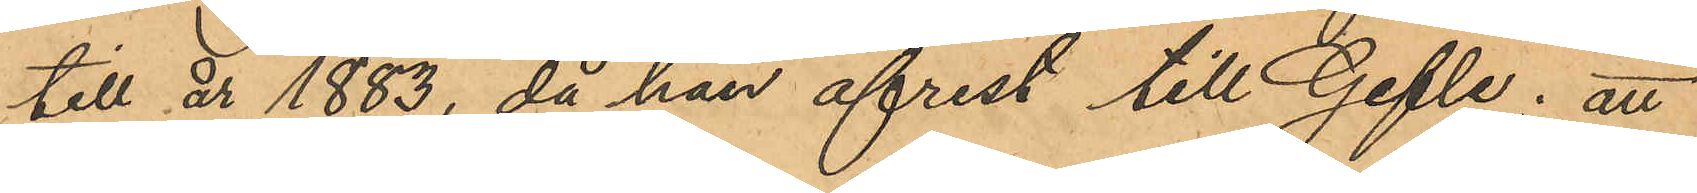till år 1883, då han afrest till Gefle; att
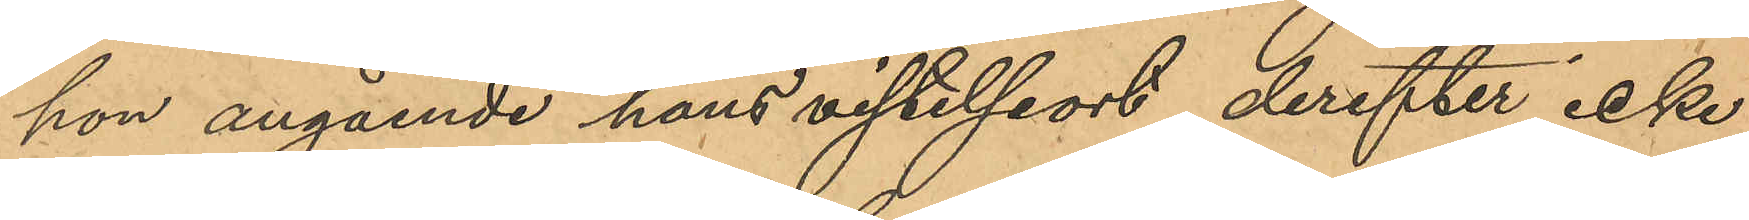hon angående hans vistelseort derefter icke
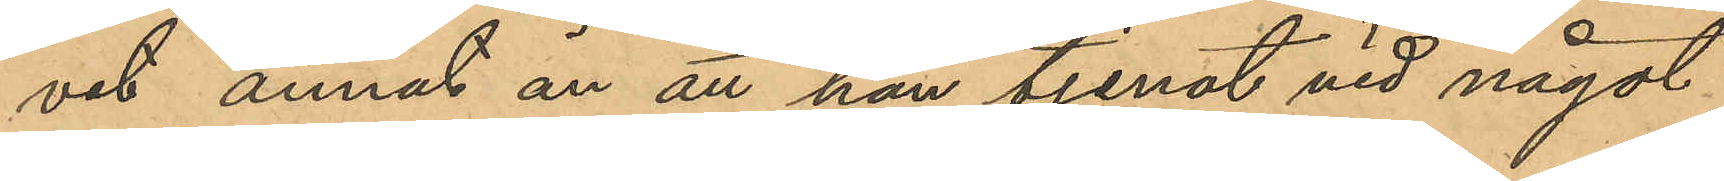vet annat än att han tjenat vid något
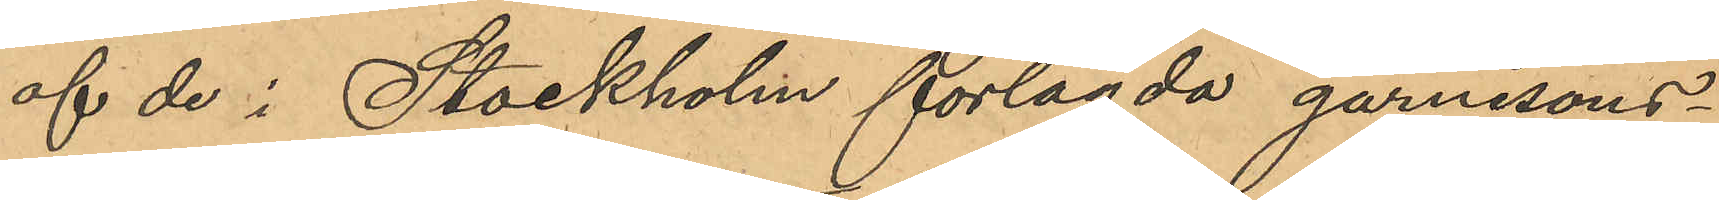af de i Stockholm förlagda garnisons¬
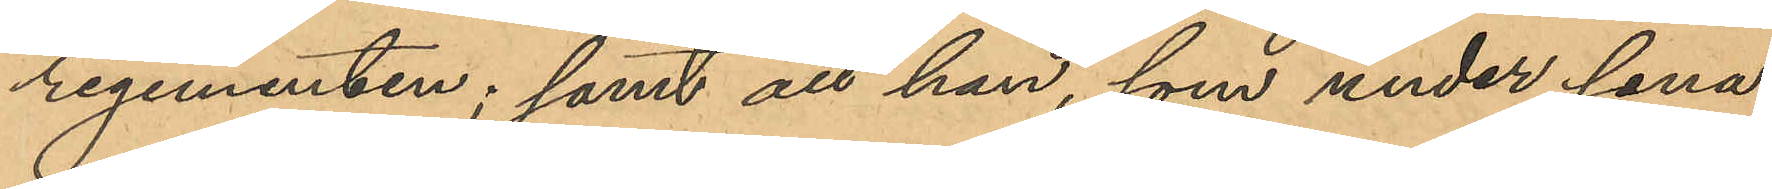regementen; samt att han, som under sena¬
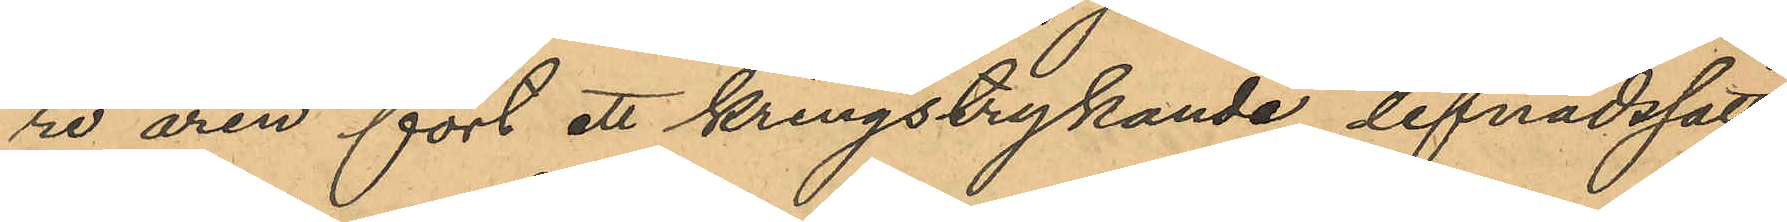re åren fört ett kringstrykande lefnadssätt,
